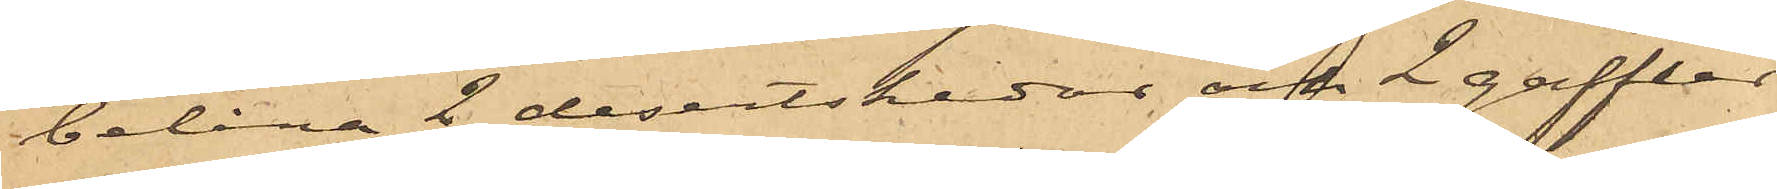belåna 2 dessertskedar och 2 gafflar
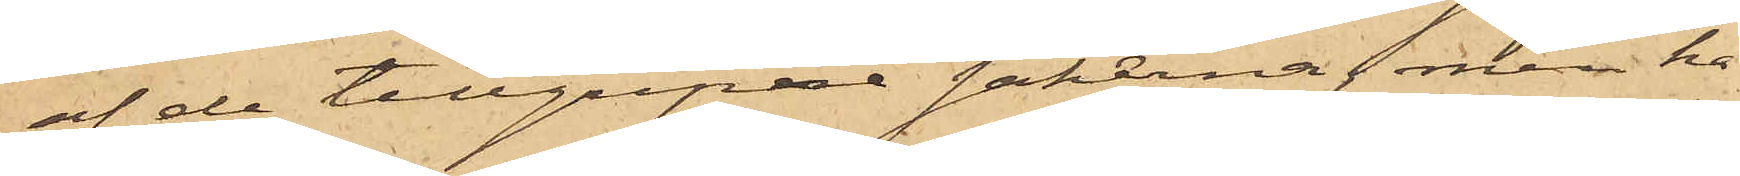af de tillgripe sakerna, men ha¬
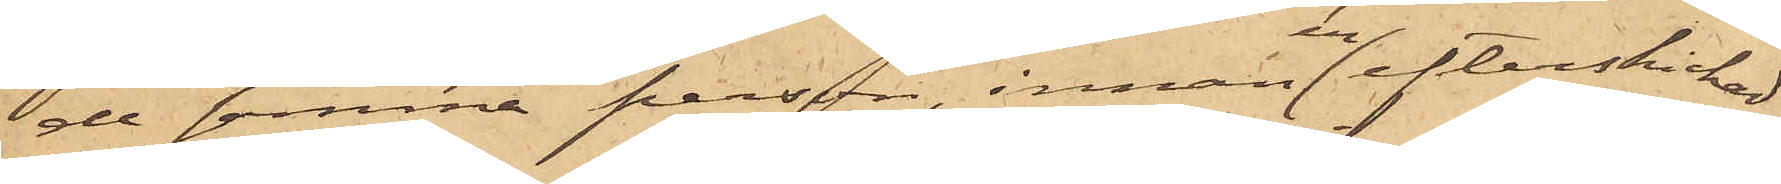de samma person, innan en efterskickad
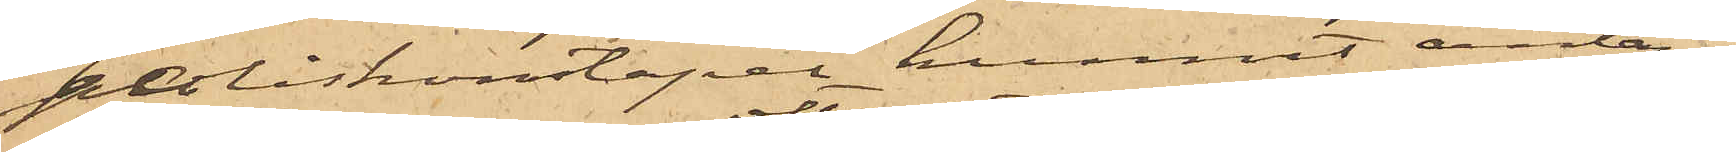poliskonstapel hunnit anlända,
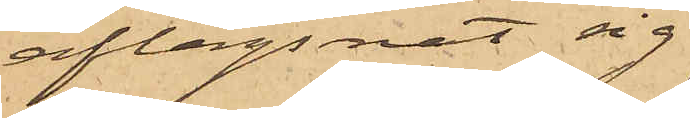aflägsnat sig
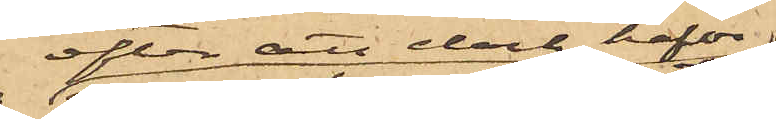efter att dock hafva
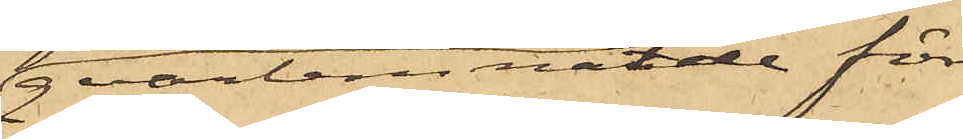qvarlemnat de för
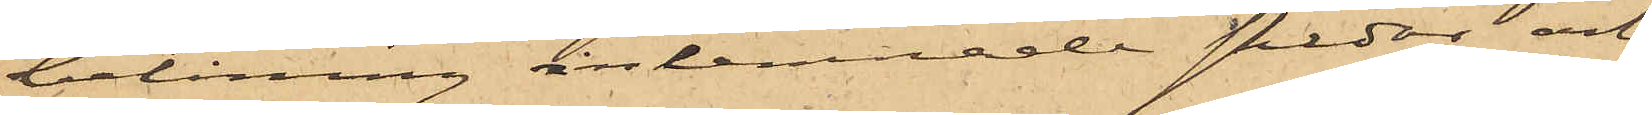belåning inlemnade skedar och
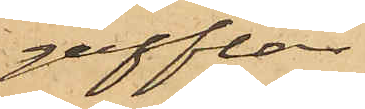gafflar.
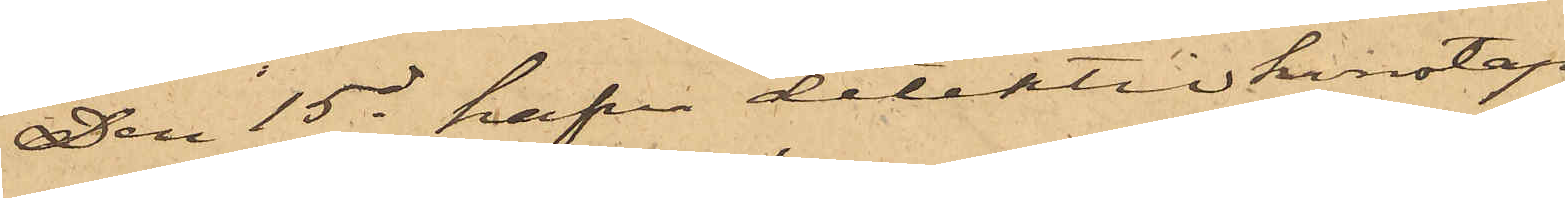Den 15 ds hafva detektivkonstap¬
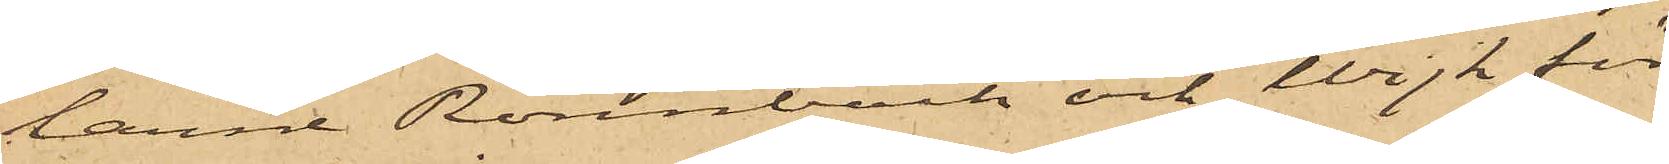larne Rönnbäck och Wijk för
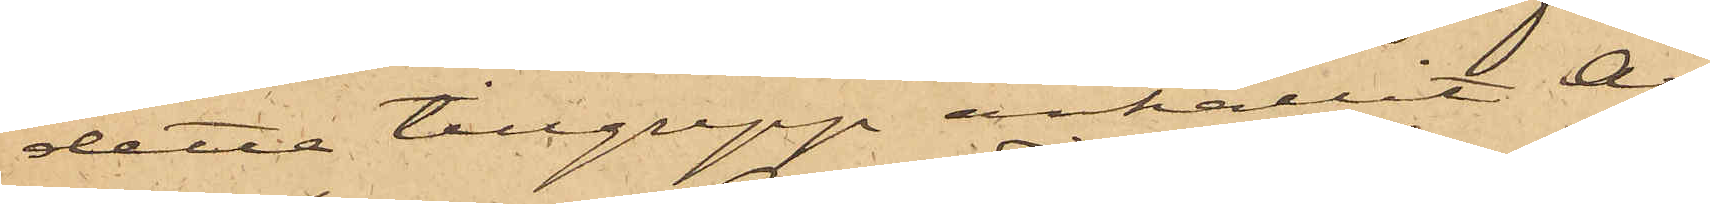detta tillgrepp anhållit ar¬
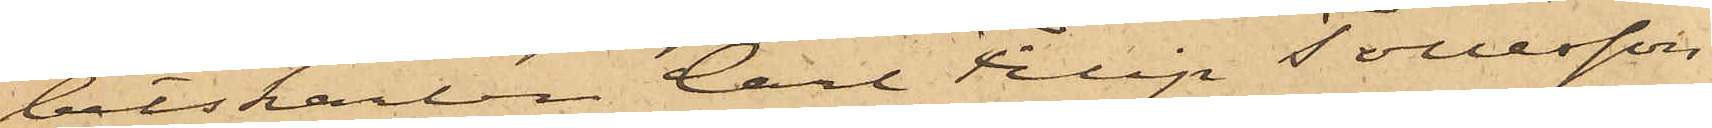betskarlen Carl Filip Tollesson,
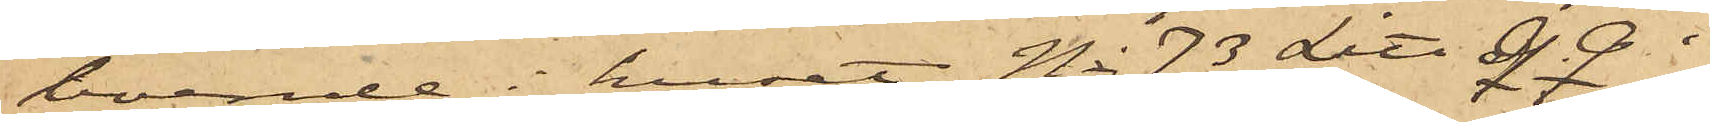boende i huset No 73 Litt Q. Q. i
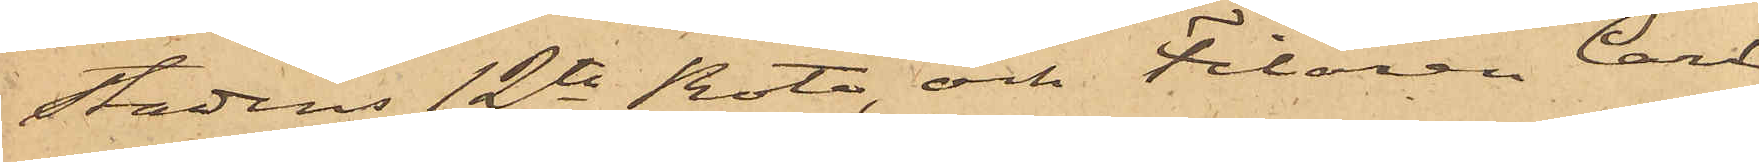Stadens 12te Rote, och Filaren Carl
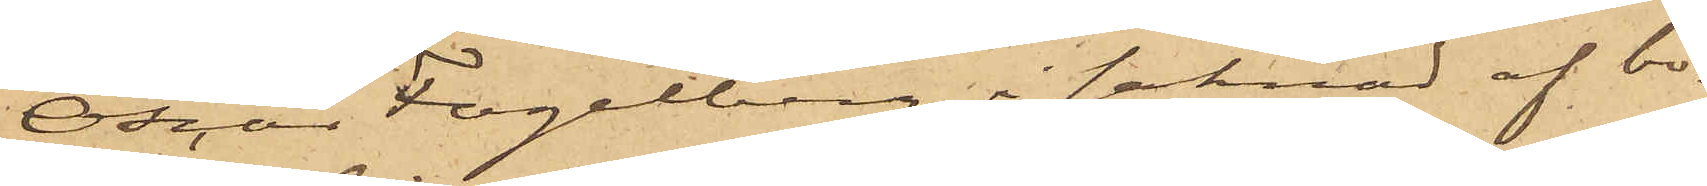Oscar Fogelberg, i saknad af bo¬
